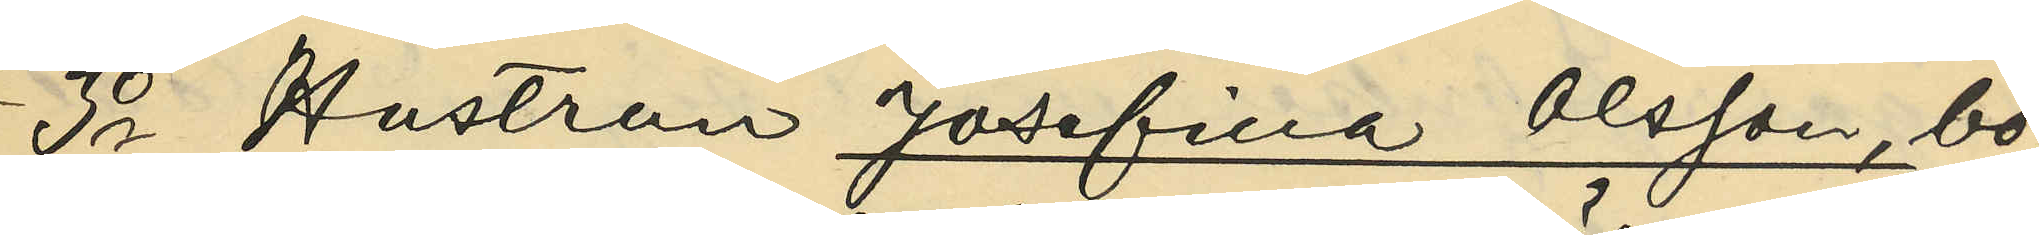3o Hustrun Josefina Olsson, bo¬
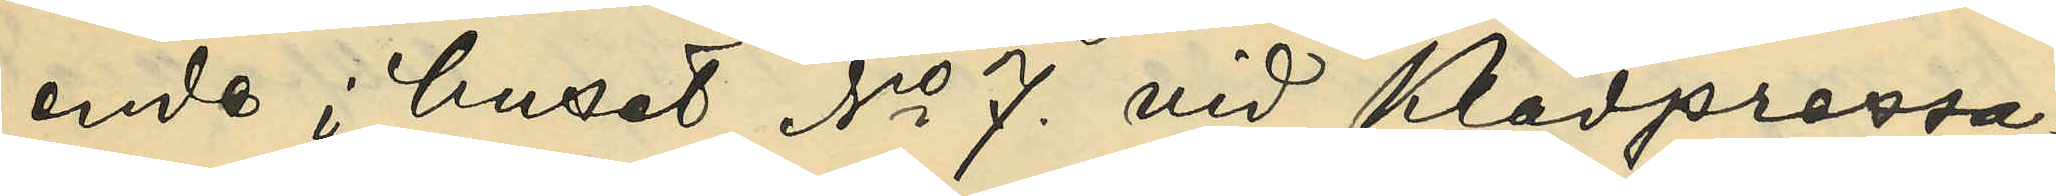ende i huset No 7. vid Klädpressa¬
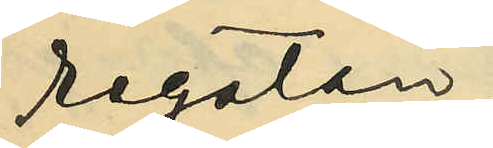regatan:
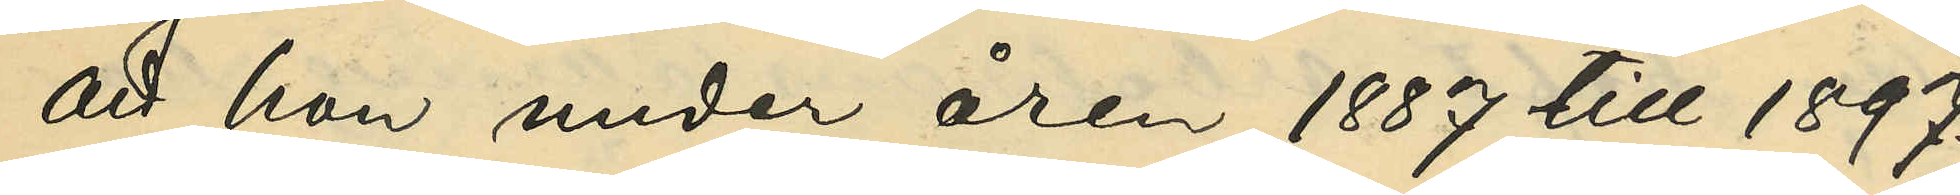att han under åren 1887 till 1897.
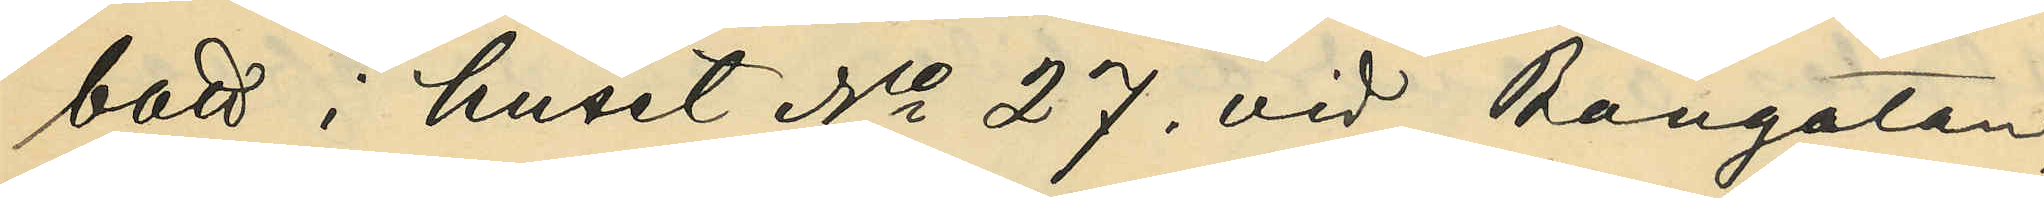bott i huset No 27. vid Bangatan;
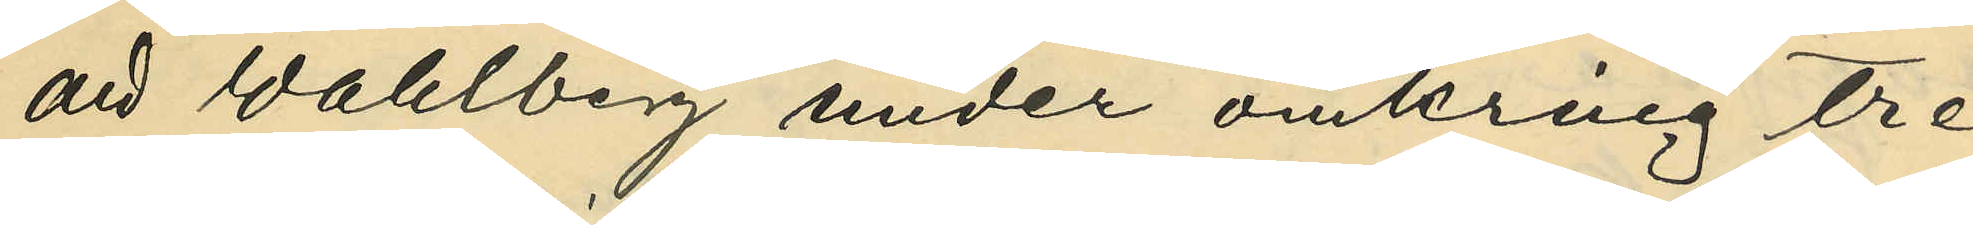att Wahlberg under omkring tre
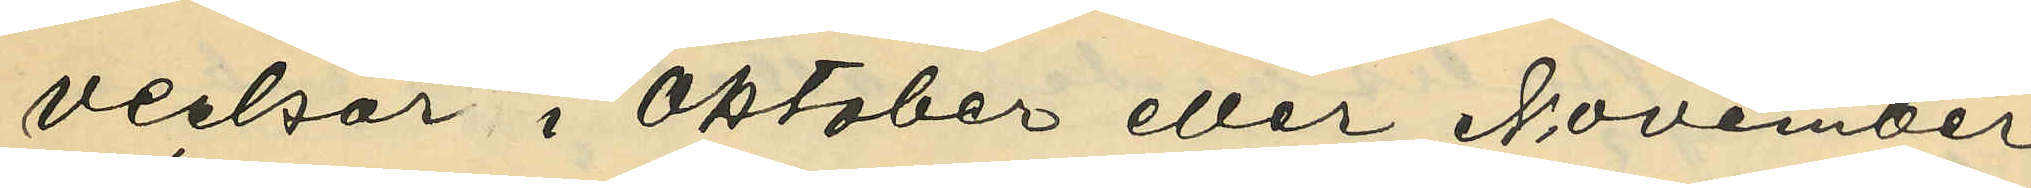veckor i Oktober eller November
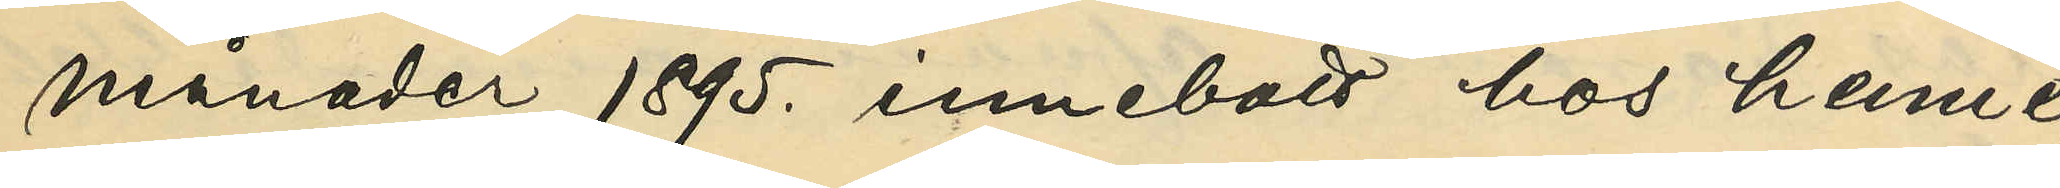månader 1895. innebott hos henne;
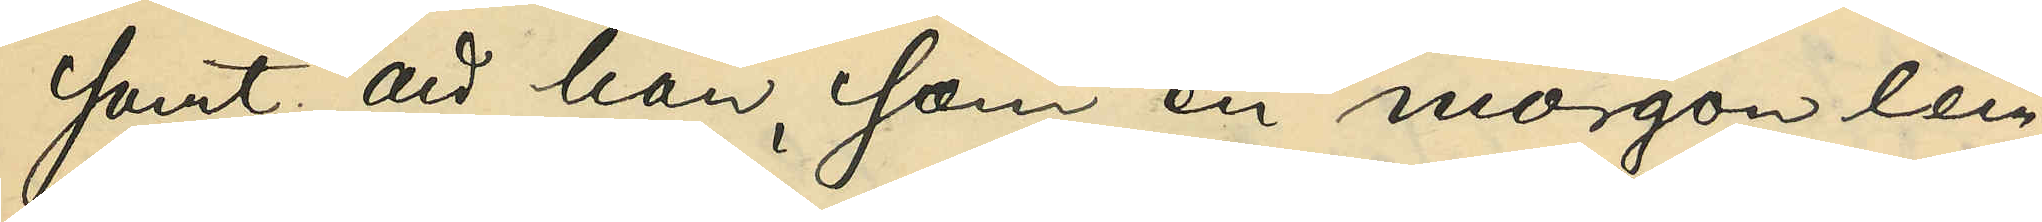samt att han, som en morgon lem¬
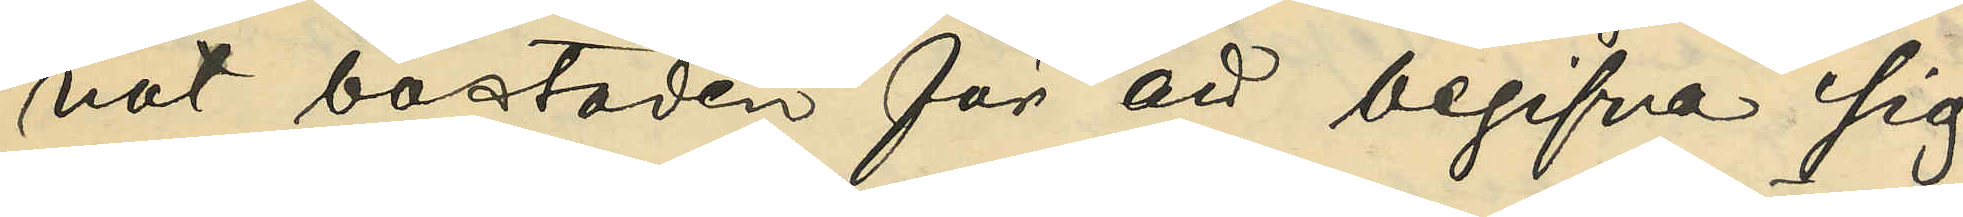nat bostaden för att begifva sig
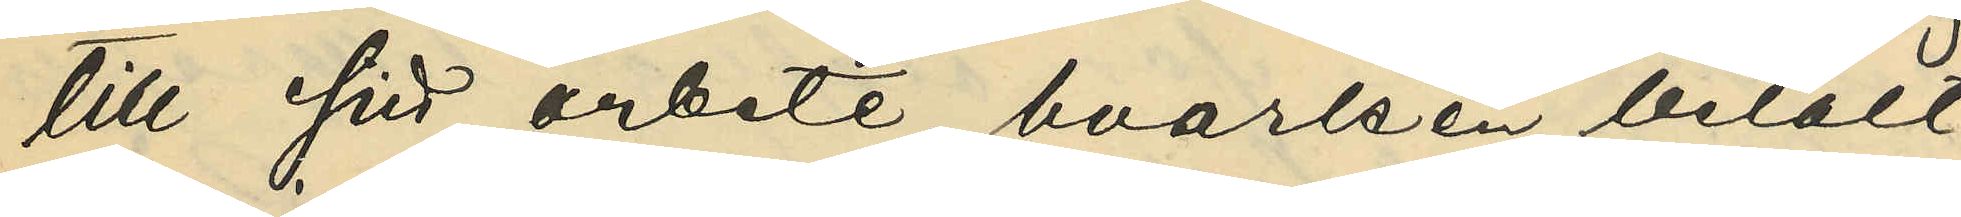till sitt arbete, hvarken betalt
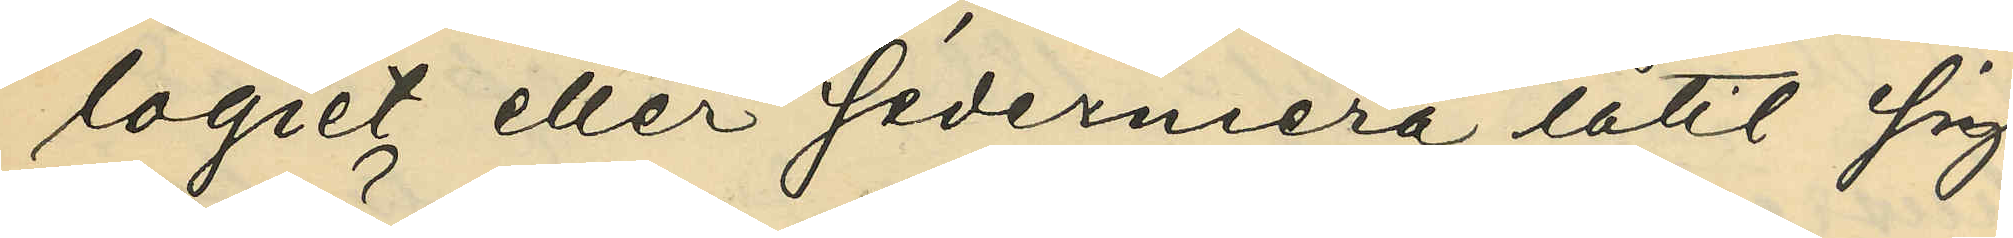logiet eller sedermera låtit sig
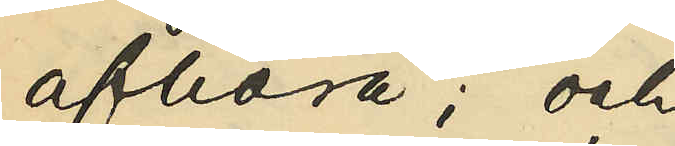afhöra; och
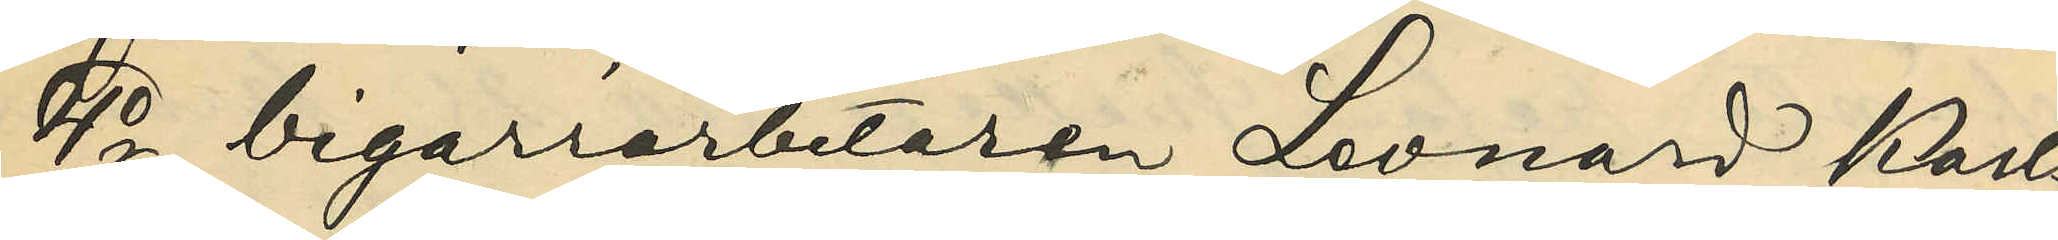4o cigarrarbetaren Leonard Karls¬
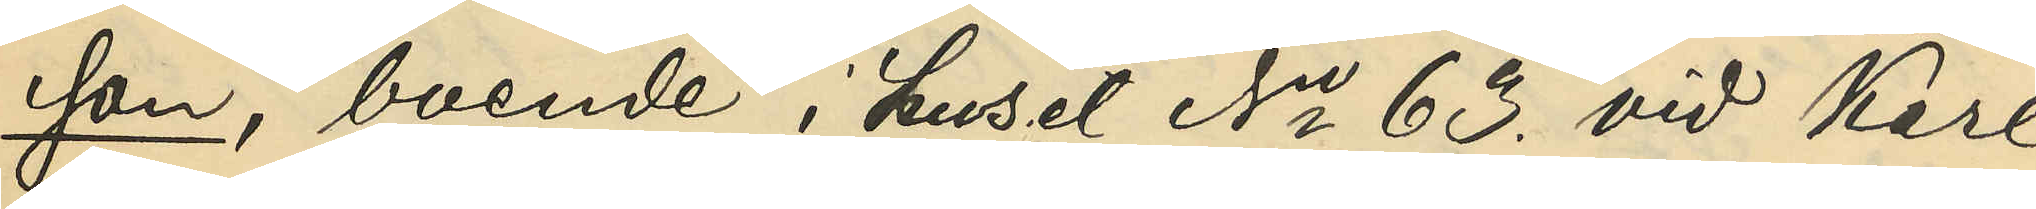son, boende i huset No 63. vid Karl
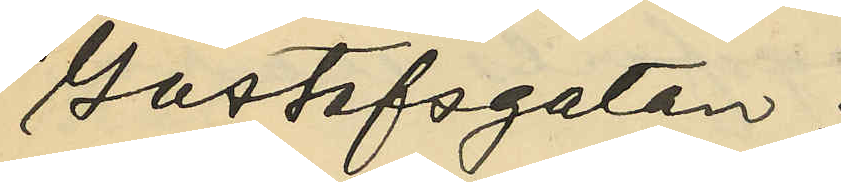Gustafsgatan:
